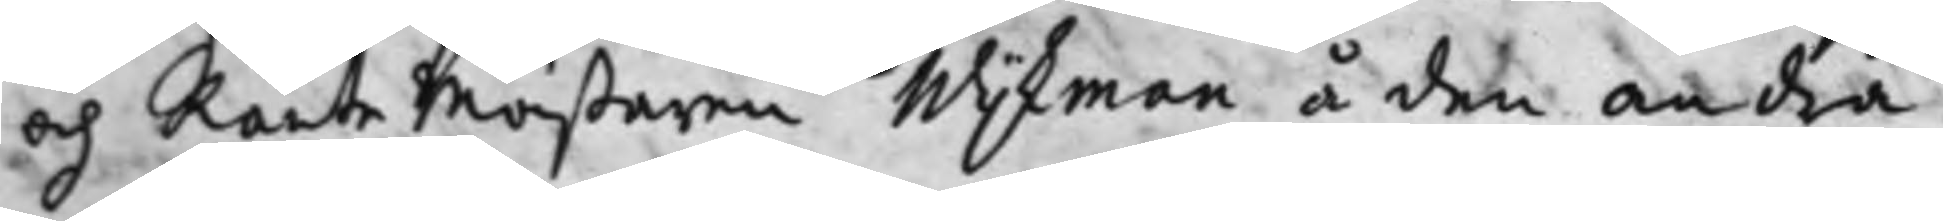och Räntemästaren Wijkman å den andra:
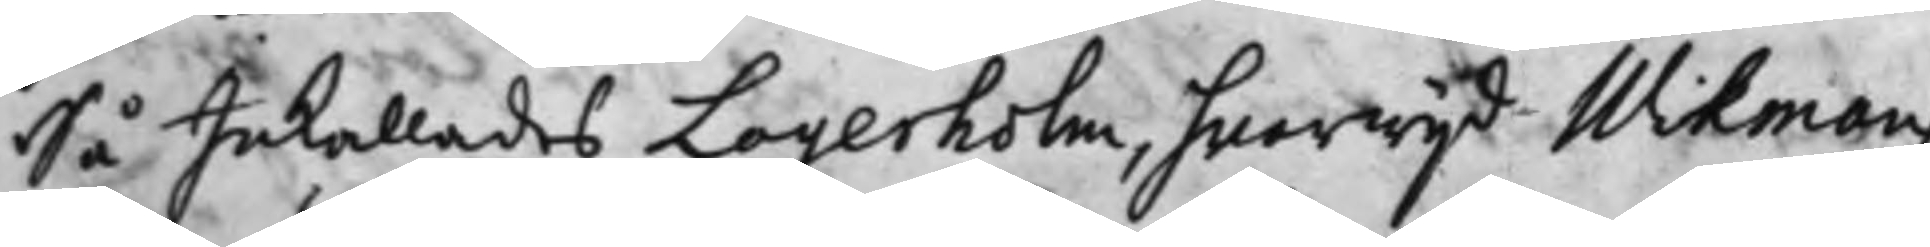Så Inkallades Lagerholm, hwarwijd Wikmans
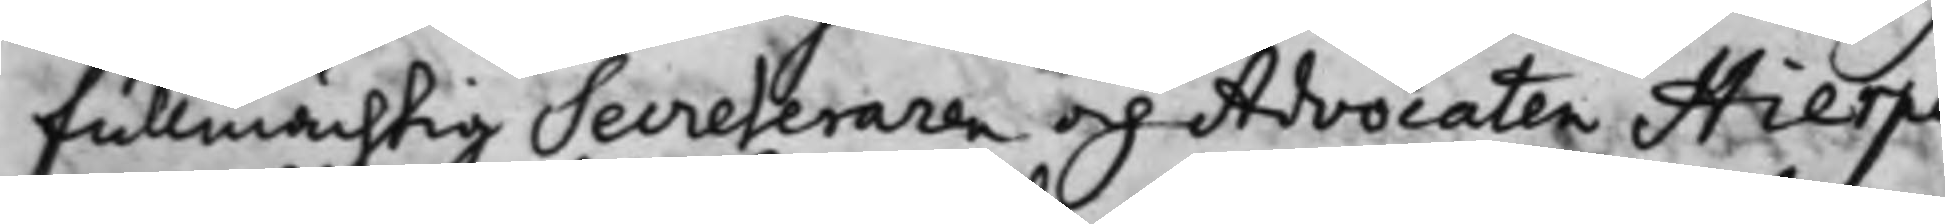Fullmächtig Secreteraren och Advocaten Hierpe
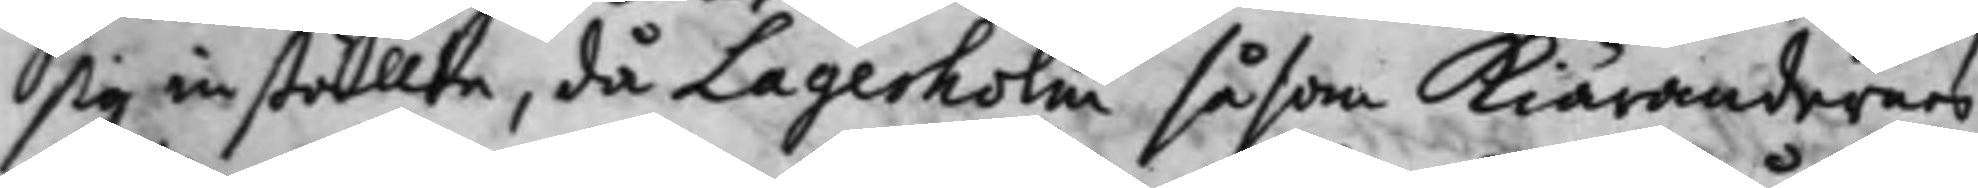sig inställte, då Lagerholm såsom Kiärandernes
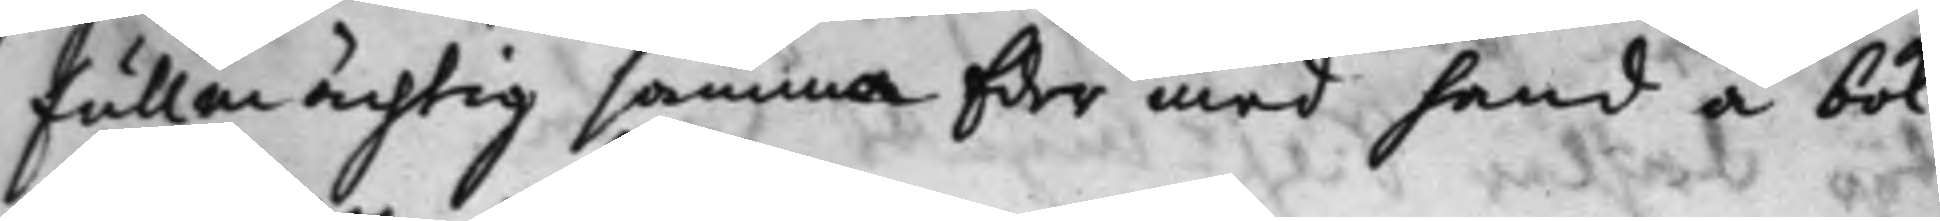Fullmächtig samma Eder med hand å bok
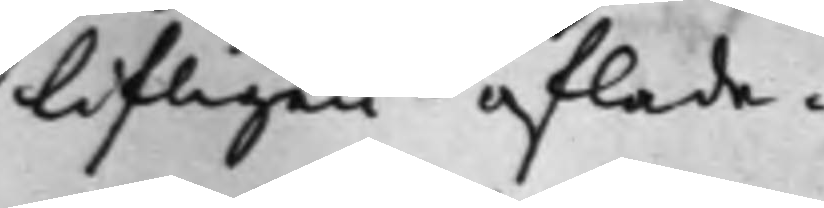lifligen aflade.
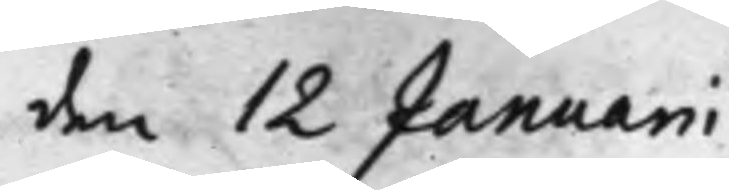den 12 Januarii
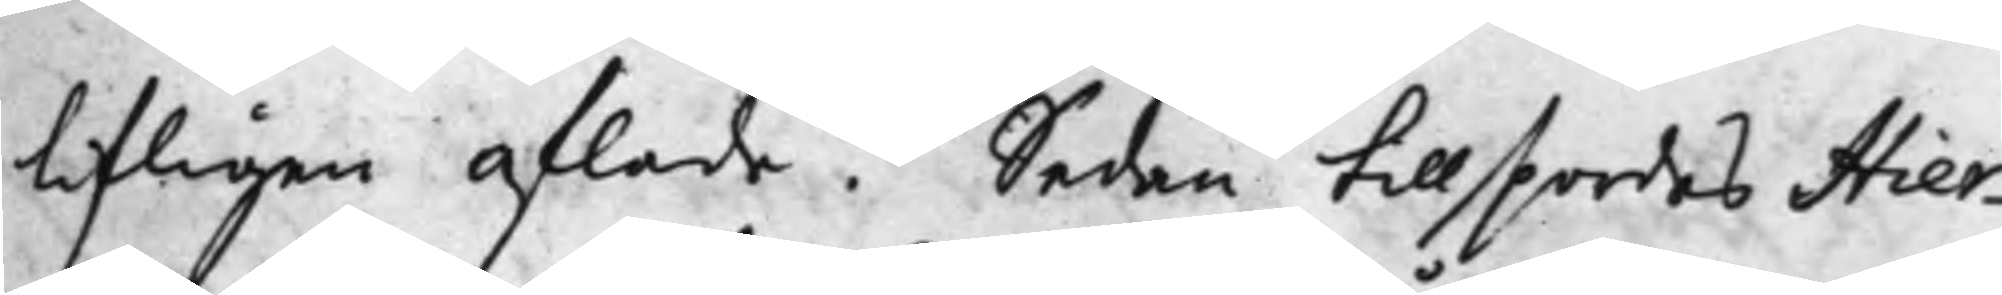lifligen aflade. Sedan tillspordes Hier¬
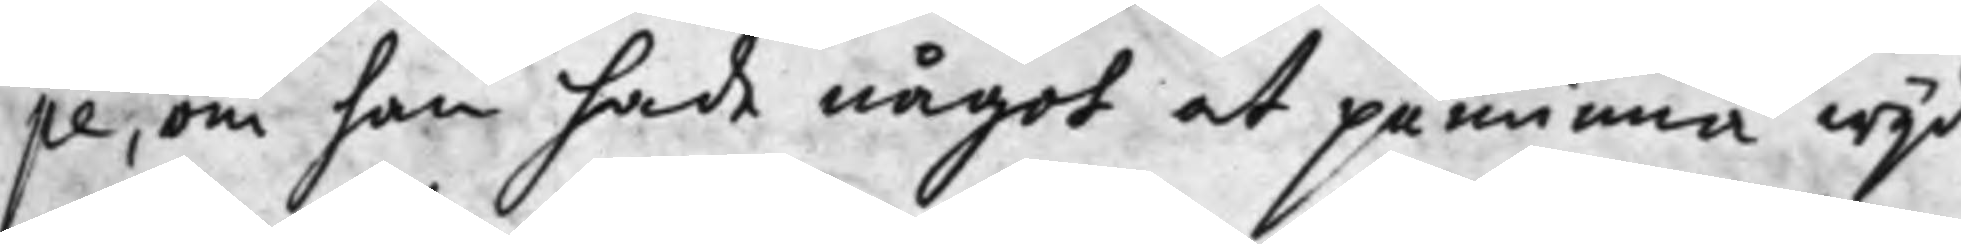pe, om han hade något at påminna wijd
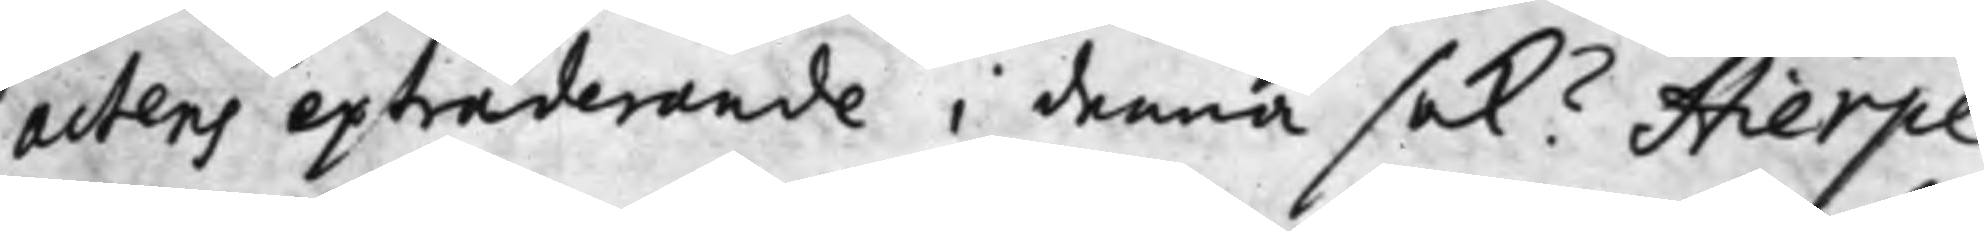Actens extraderande i denna Sak? Hierpe
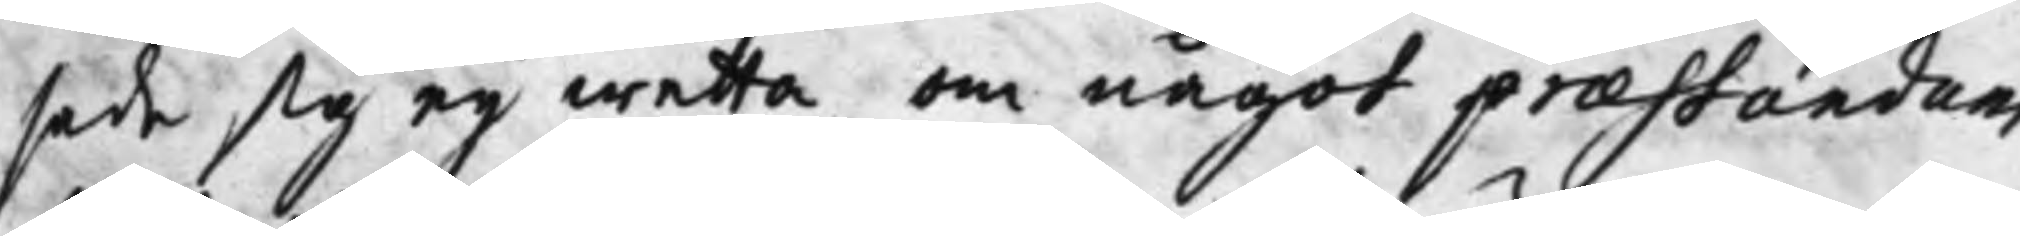sade sig ey wetta om något praestandum
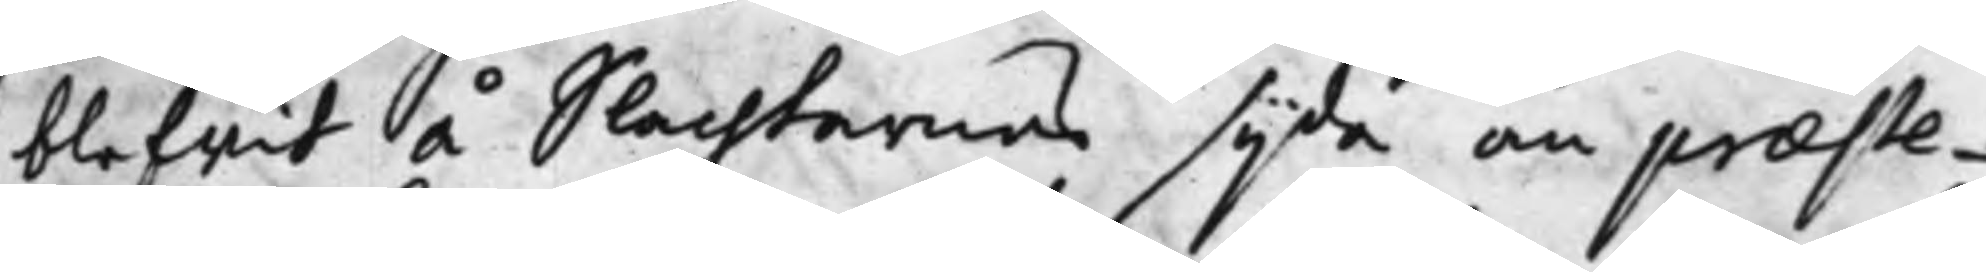blifwit å Slachtarens sijda än praeste¬
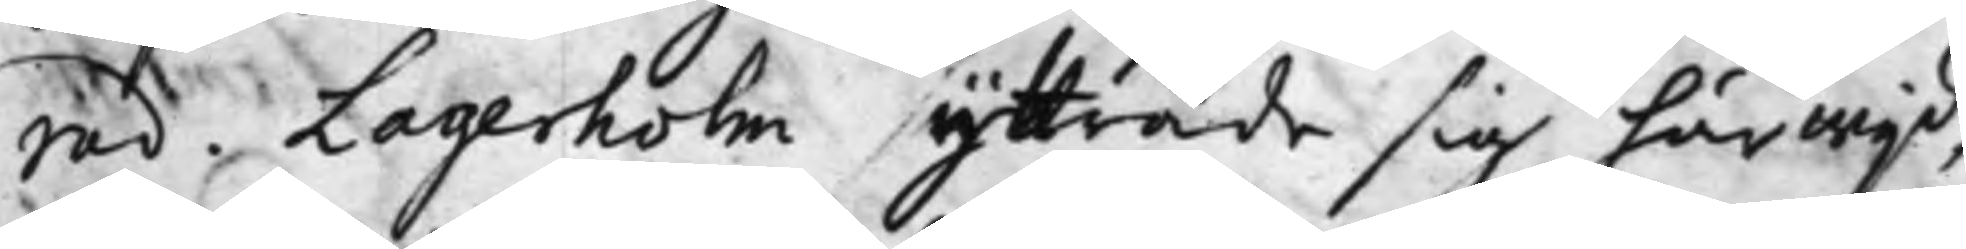rad. Lagerholm yttrade sig härwijd,
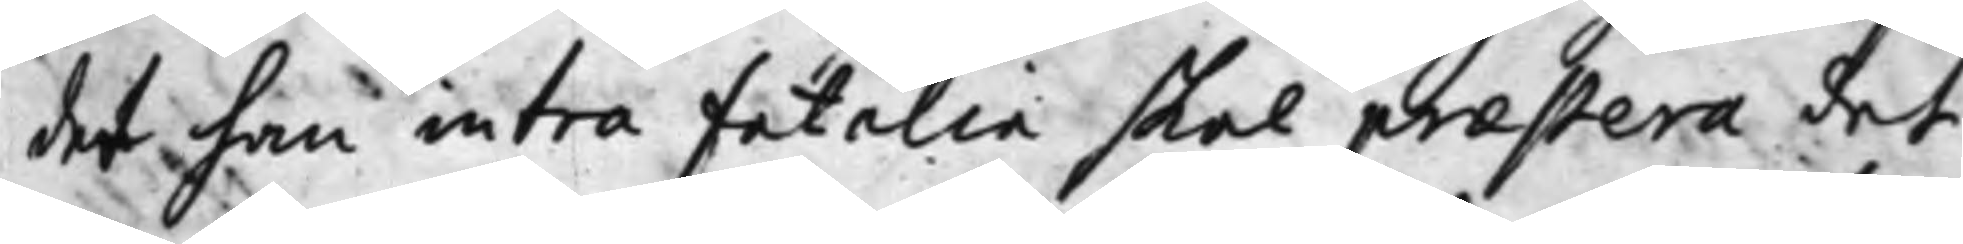det han intra fatalia skal praestera det
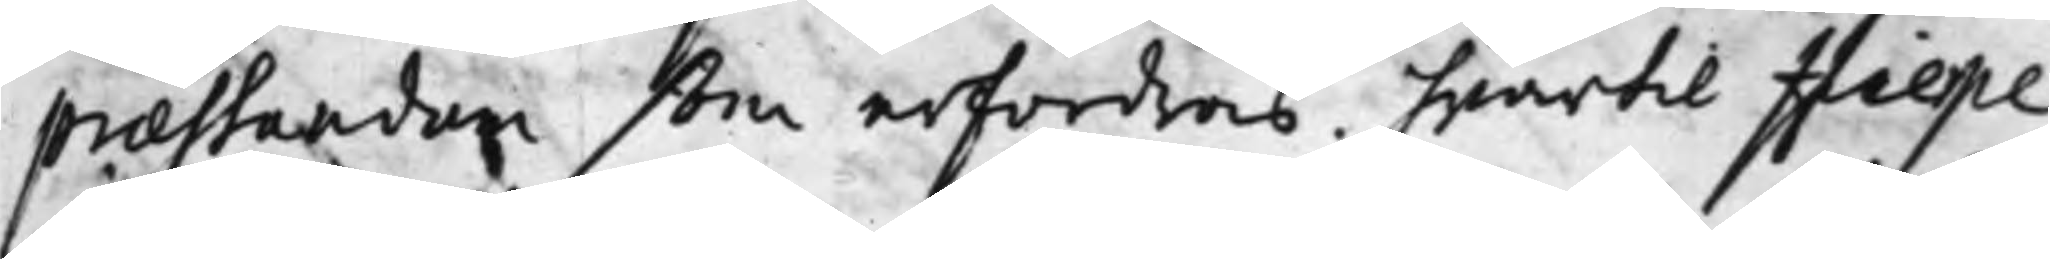praestandum som erfordras. hwartil Hierpe
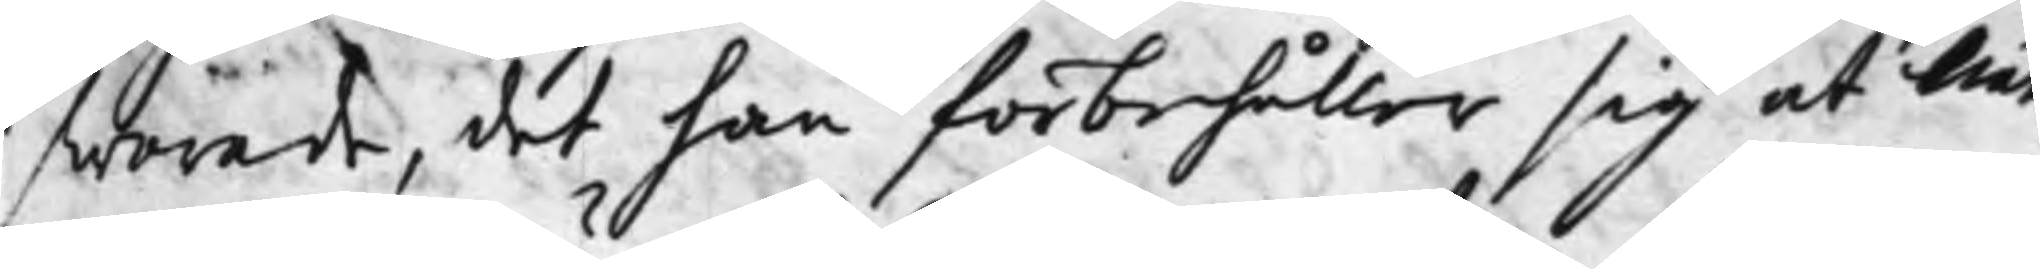swarade, det han förbehåller sig at när
